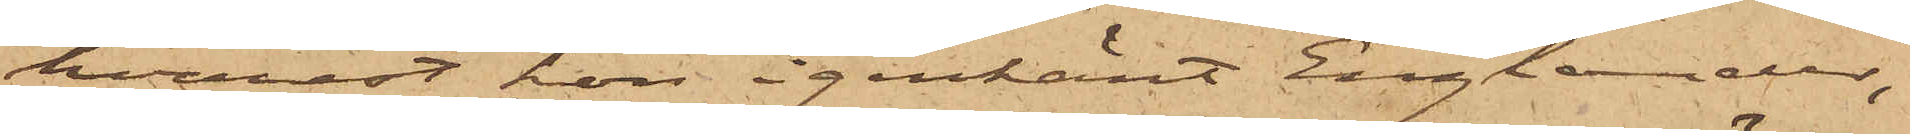hvarest hon igenkänt Englander;
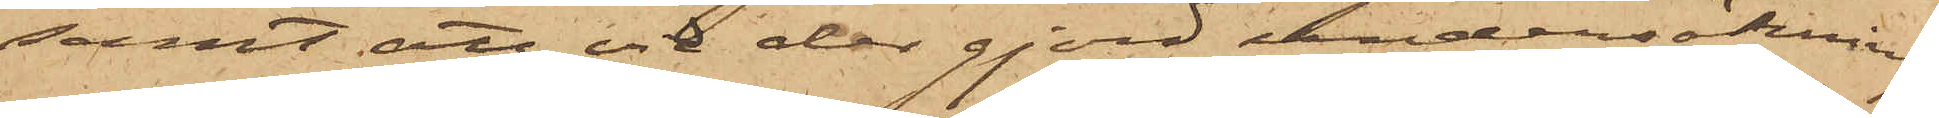samt att vid der gjord undersökning
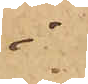i
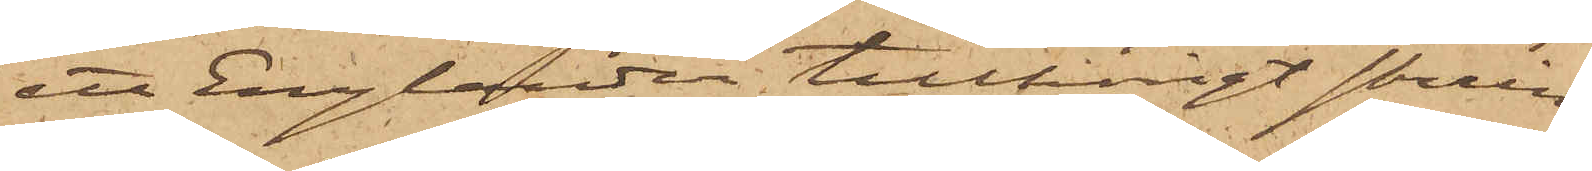ett Englander tillhörigt skrin
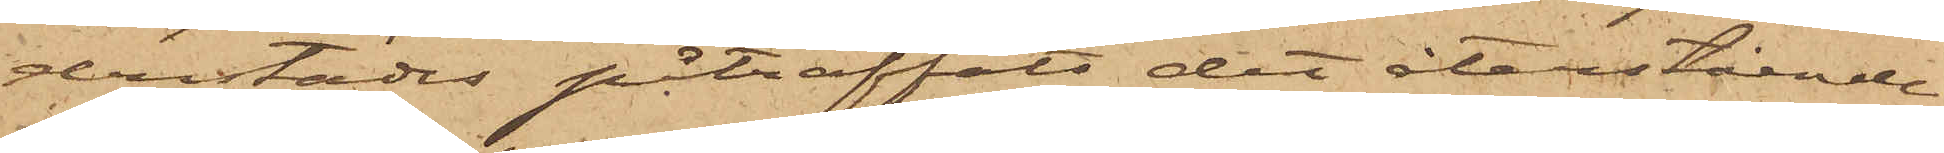derstädes påträffats det återstående
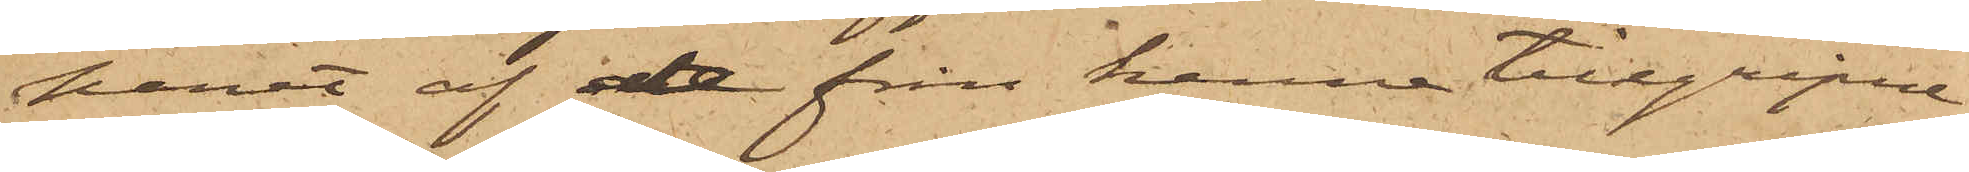paret af de från henne tillgripne
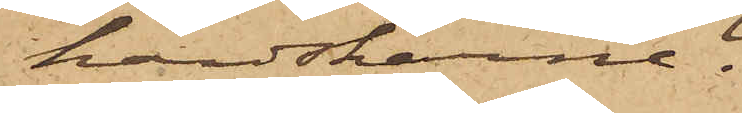handskarne.
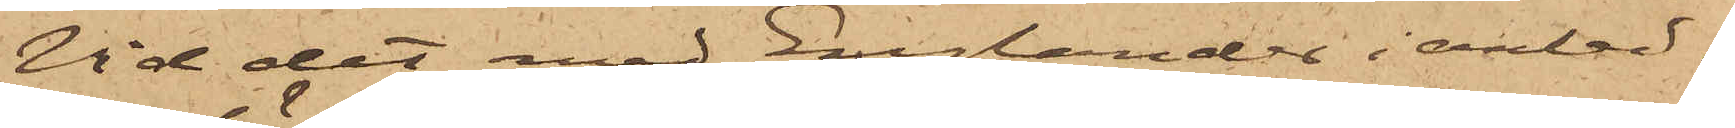Vid det med Englander i anled¬
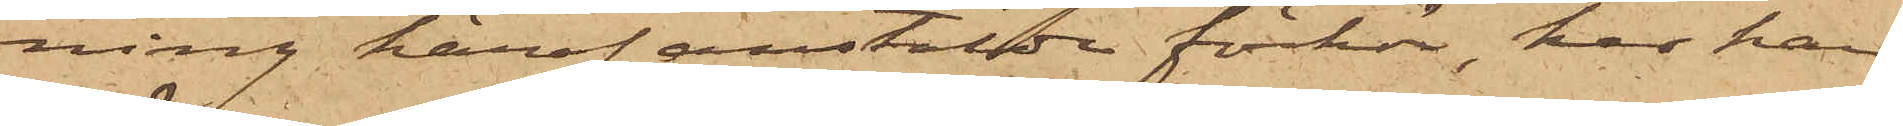ning häraf anstälda förhör, har han
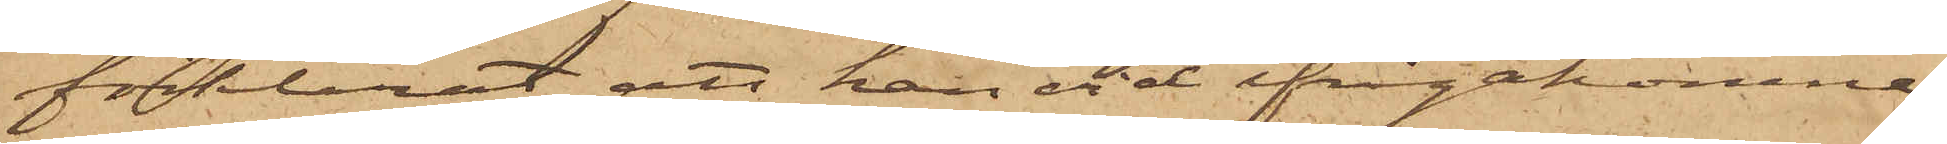förklarat att han vid ifrågakomne
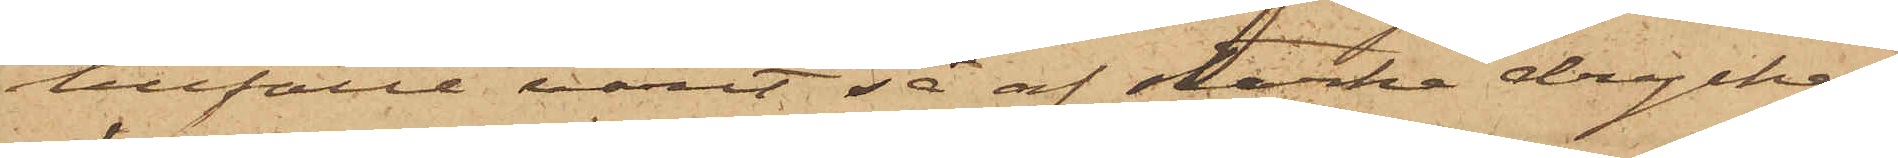tillfälle varit så af starka drycker
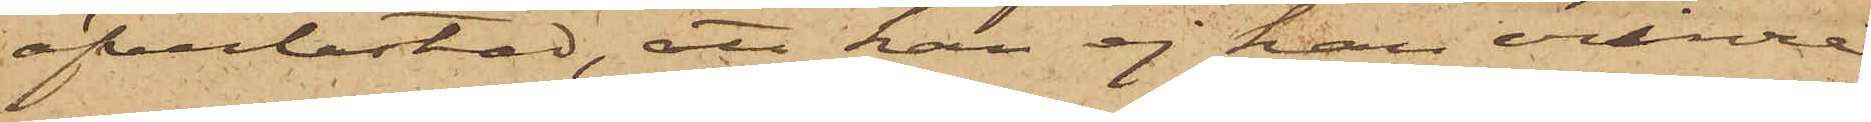öfverlastad, att han ej kan erinra
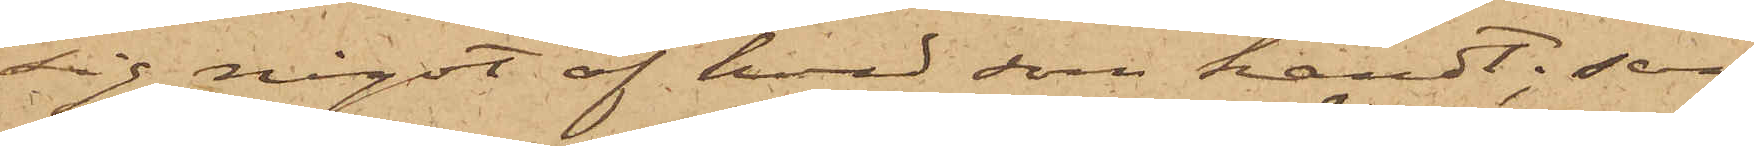sig något af hvad som händt; samt
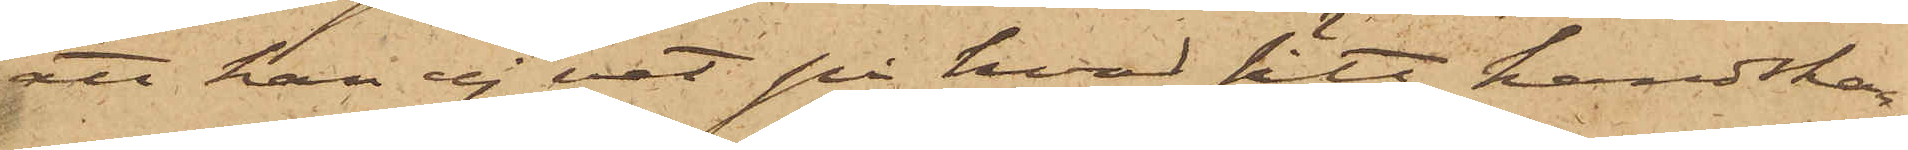att han ej vet på hvad sätt handskar¬
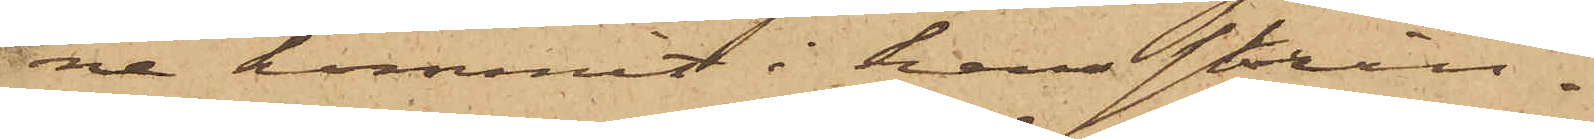ne kommit i hans skrin.
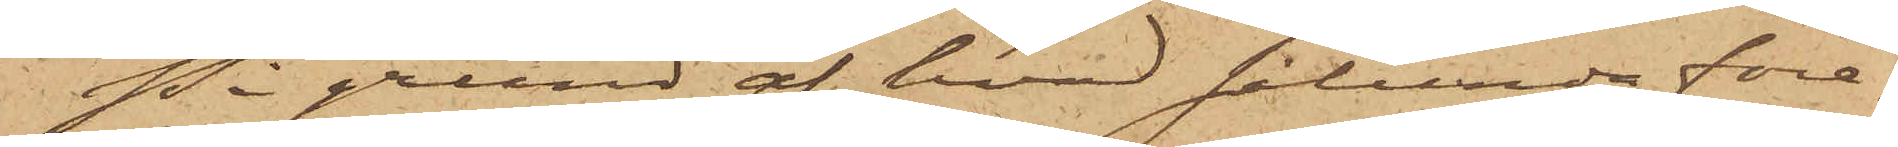På grund af hvad sålunda före¬
